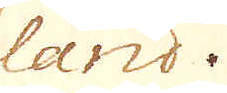land.
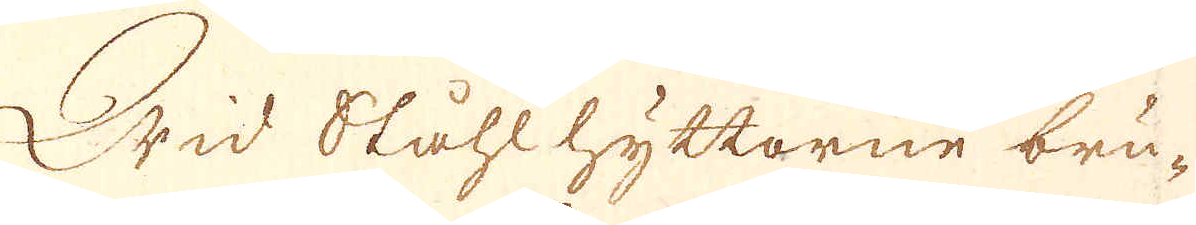Wid Ståhlhyttorne bru-
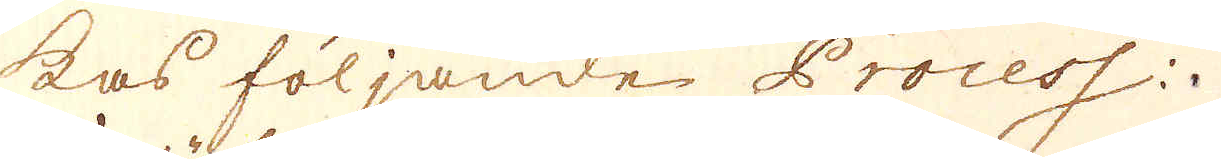kas följande Process:
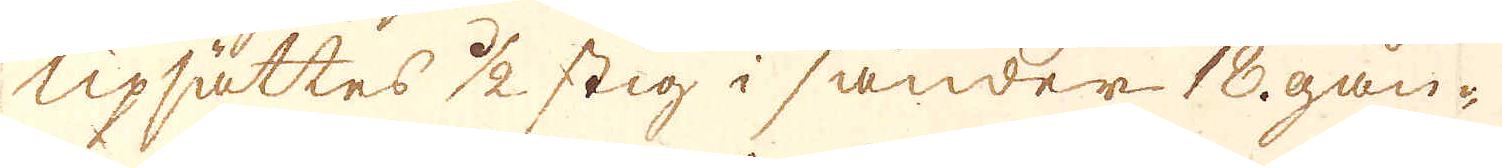Upsättes 1/2 stig i sänder 18 gån-
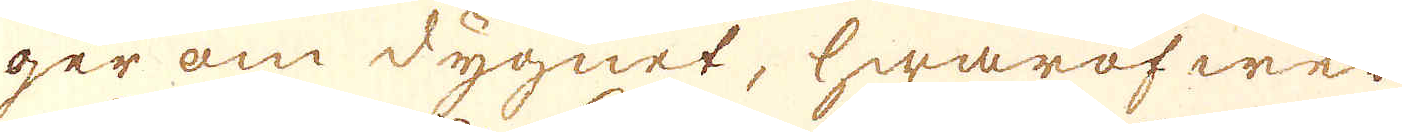ger om dygnet, hwaröfwer
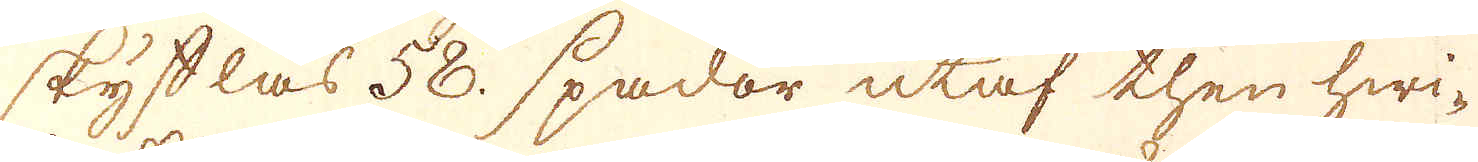skystlas 58. spador utaf then hwi-
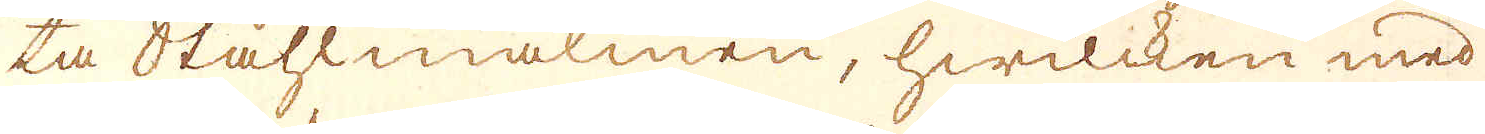ta Ståhlmalmen, hwilcken med
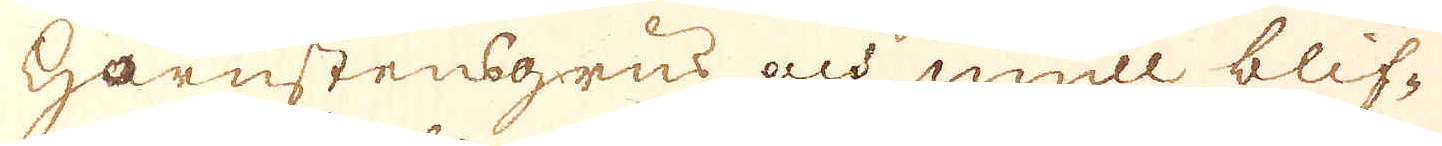Harnstensgrus och mull blif-
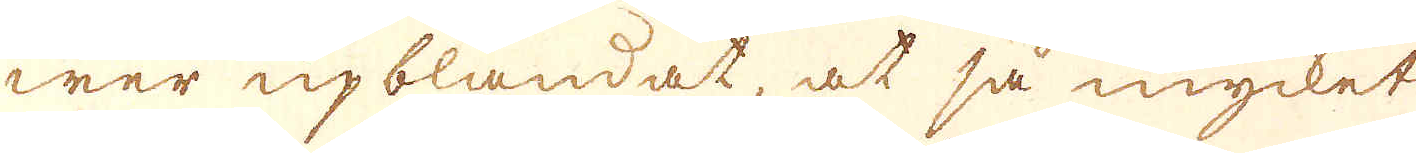wer upblandat, at så mycket
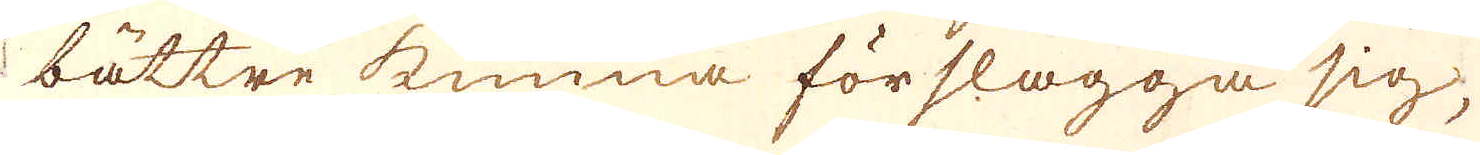bättre kunna förslagga sig,
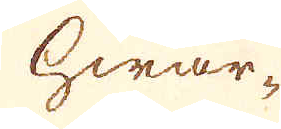hwar-
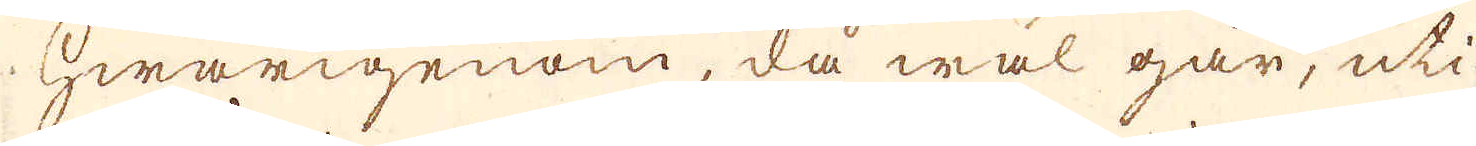hwarigenom, då wäl går, uti
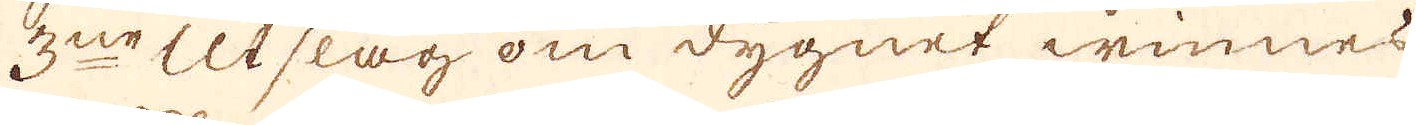3ne Utslag om dygnet winnes
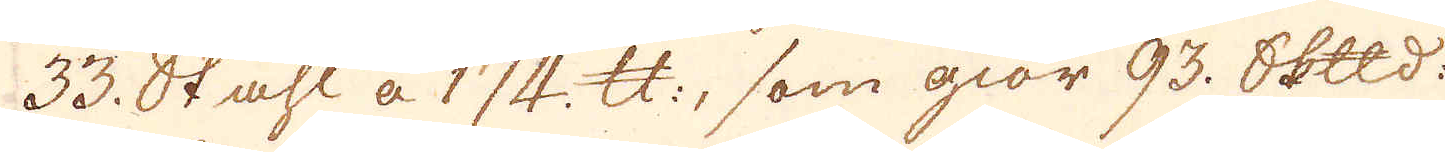33. Stahl a 174 skålpund, som giör 93. Skeppund
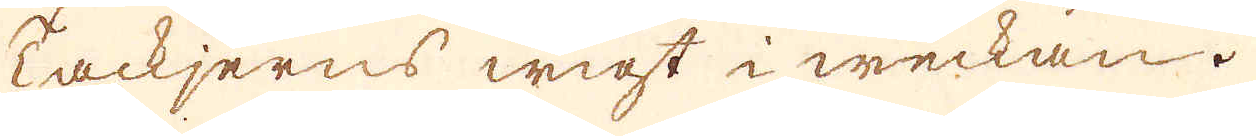Tackjerns wigt i weckan.
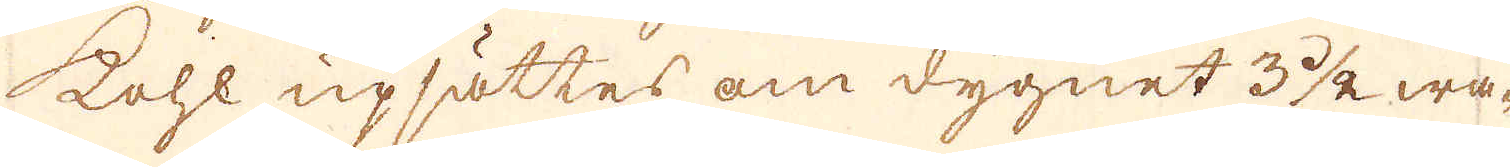kohl upsättes om dygnet 3 1/2 wa-
